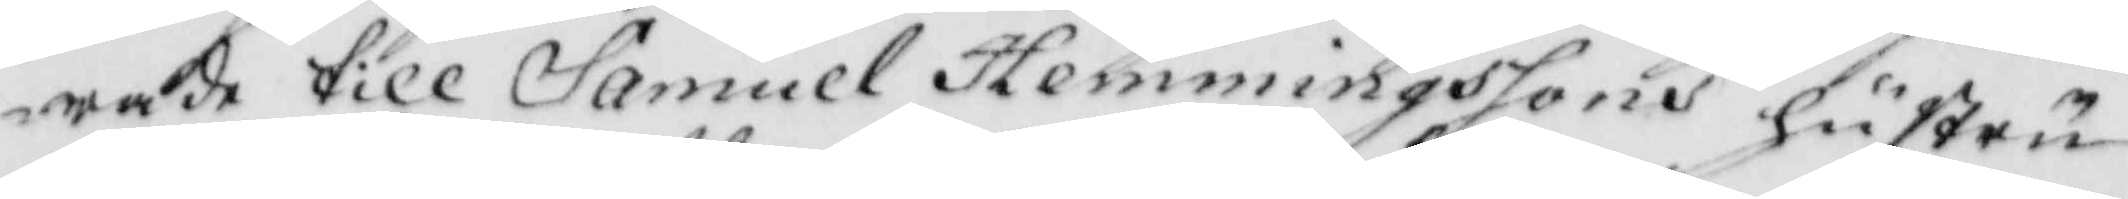rade till Samuel Hemmingssons hustru
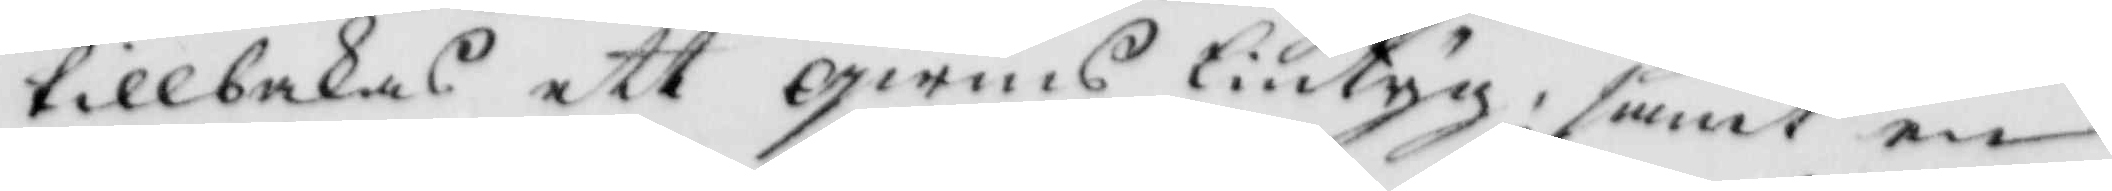tillbakas ett qwins lintyg, samt en
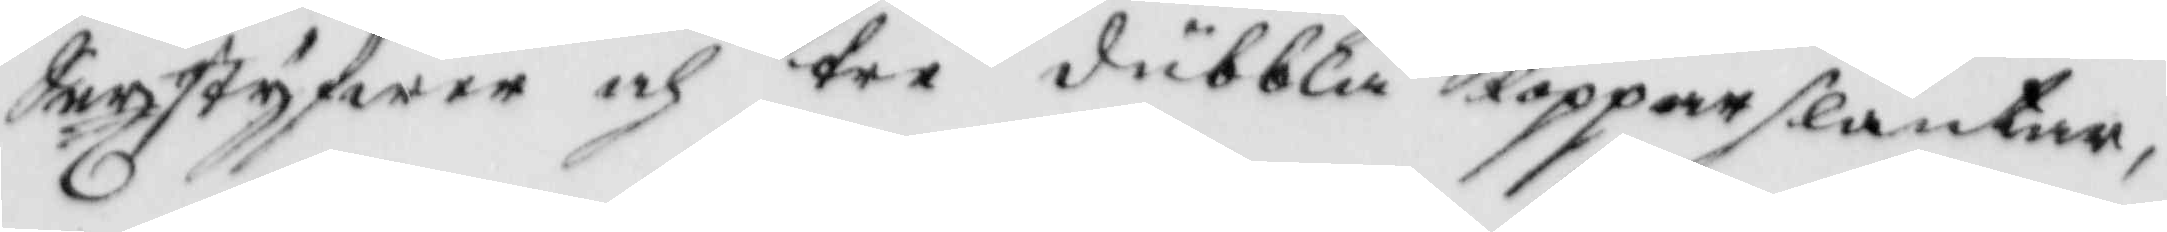Sexstyfwer och tre dubbla Kopparslantar,
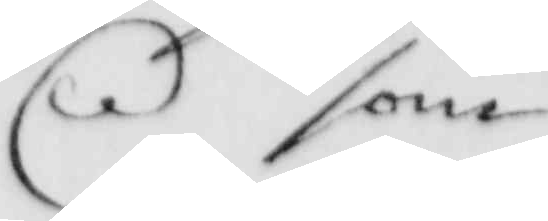som
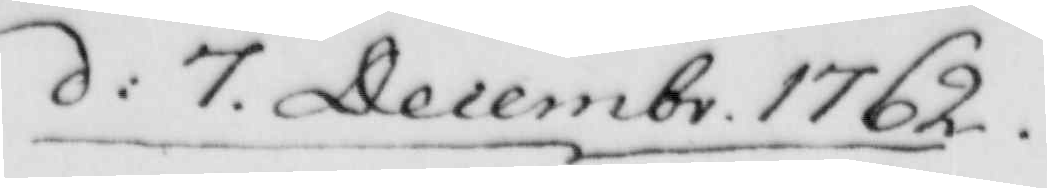d: 7 Decemr. 1762.
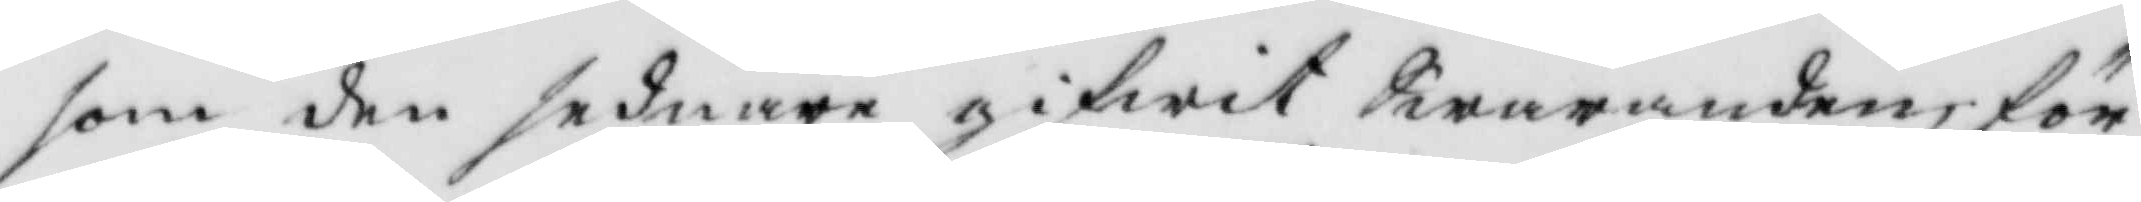som den sednare gifwit Swaranden för
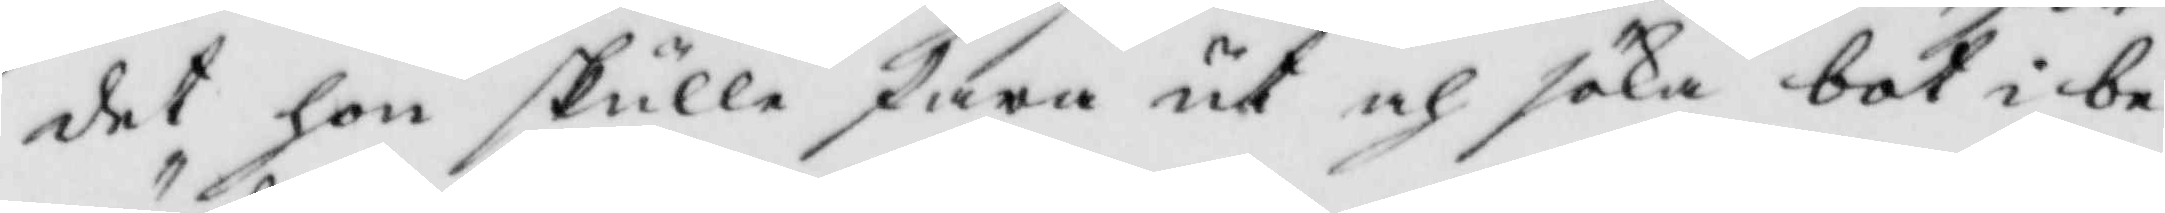det hon skulle fara ut och söka bot i be¬
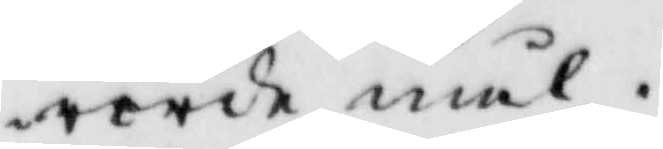rörde mål.
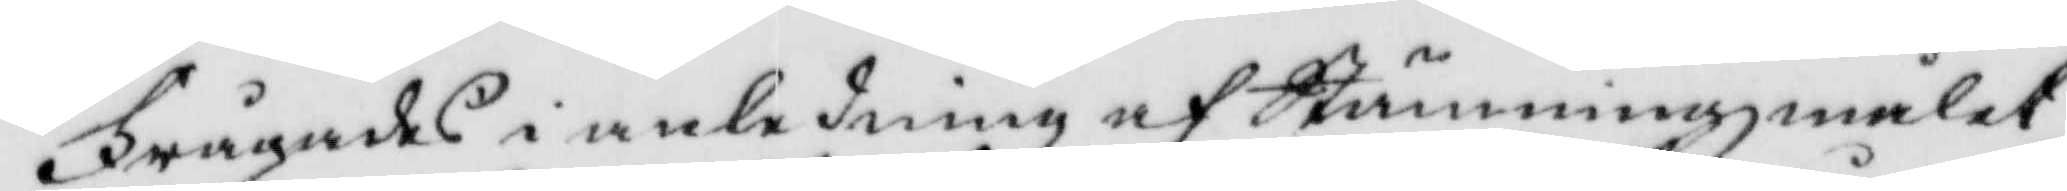Frågades i anledning af Stämmningzmålet
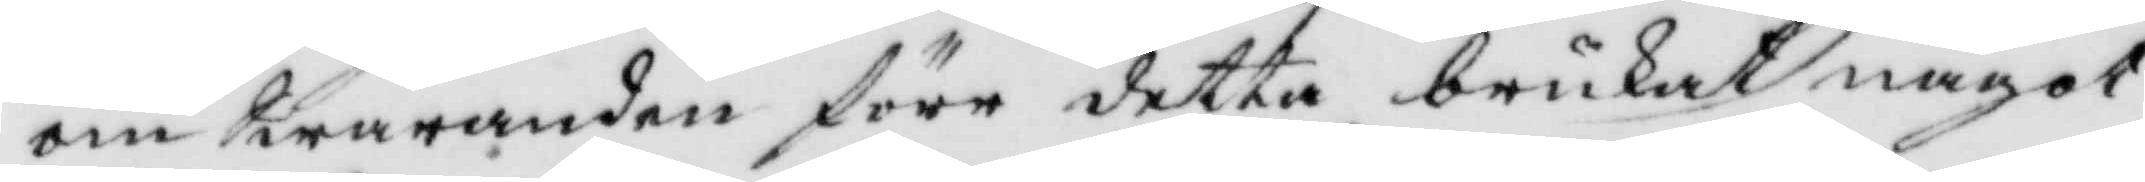om Swaranden före detta brukat något
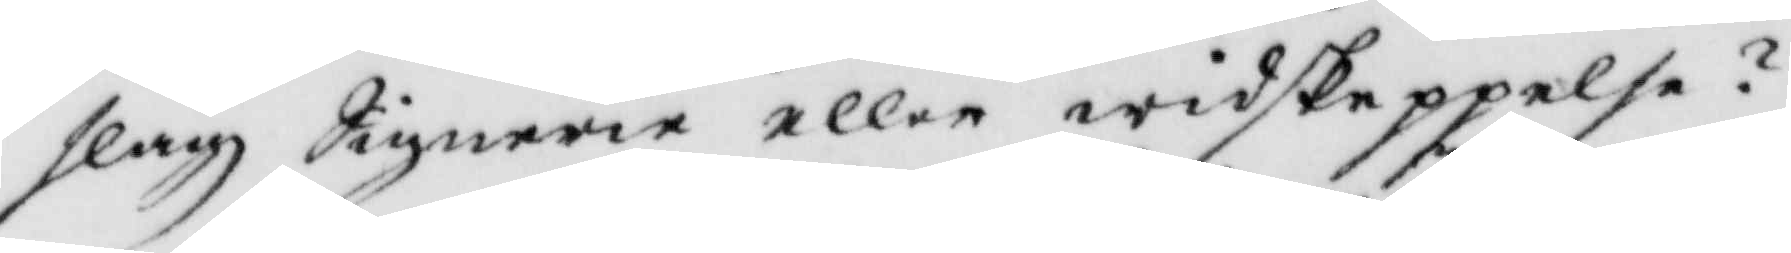slagz Signerie eller widskeppelse?
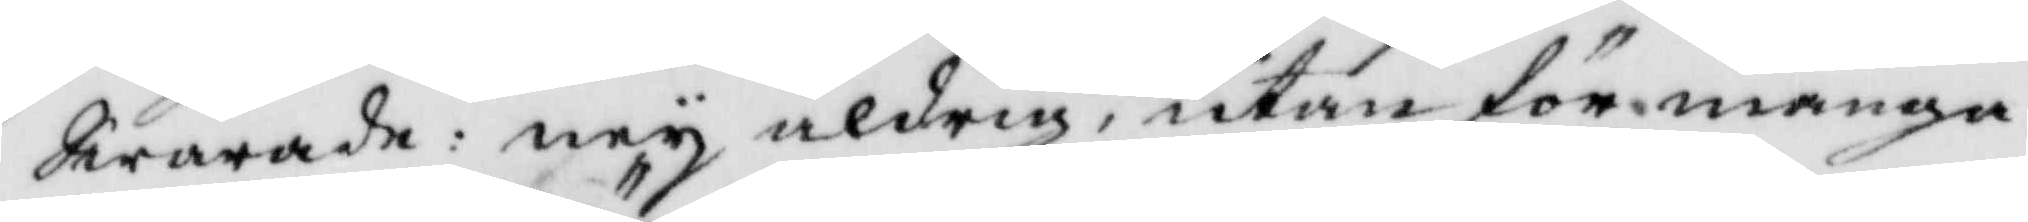Swarade: ney aldrig, utan för många
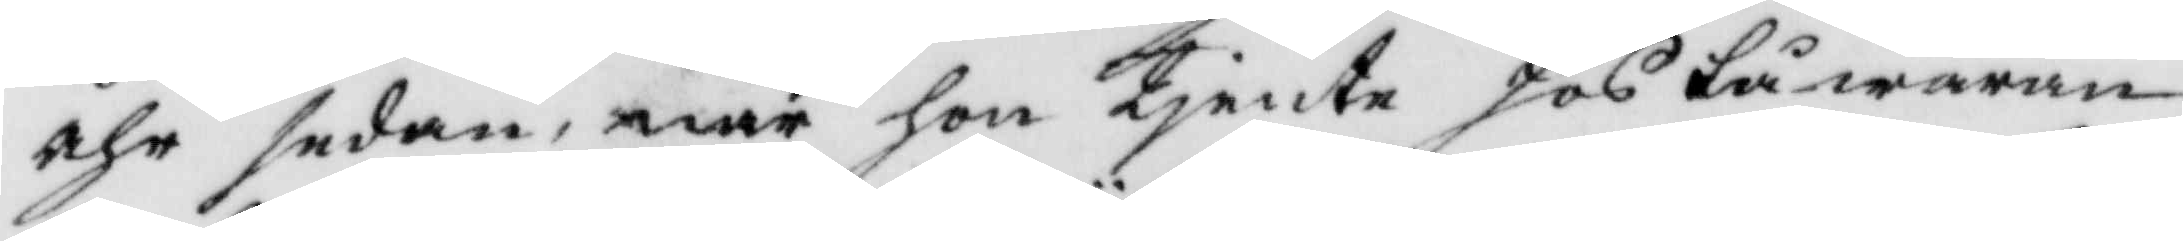åhr sedan, när hon tjente hos tåwaran¬
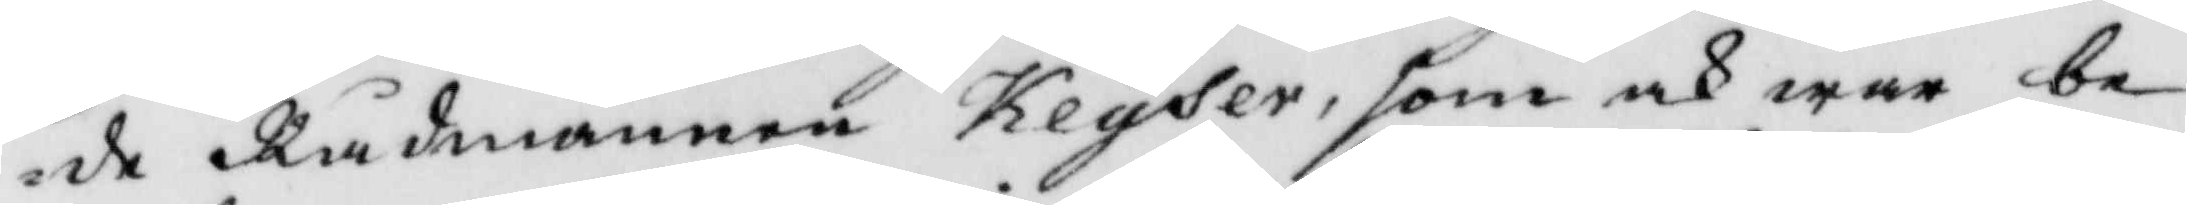de Rådmannen Keyser, som och war be¬
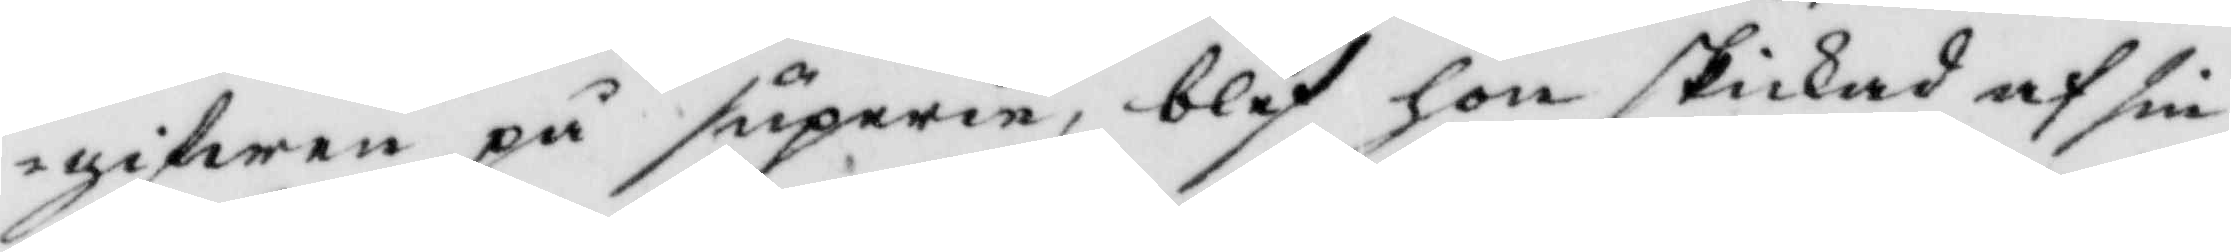gifwen på superie, blef hon skickad af sin
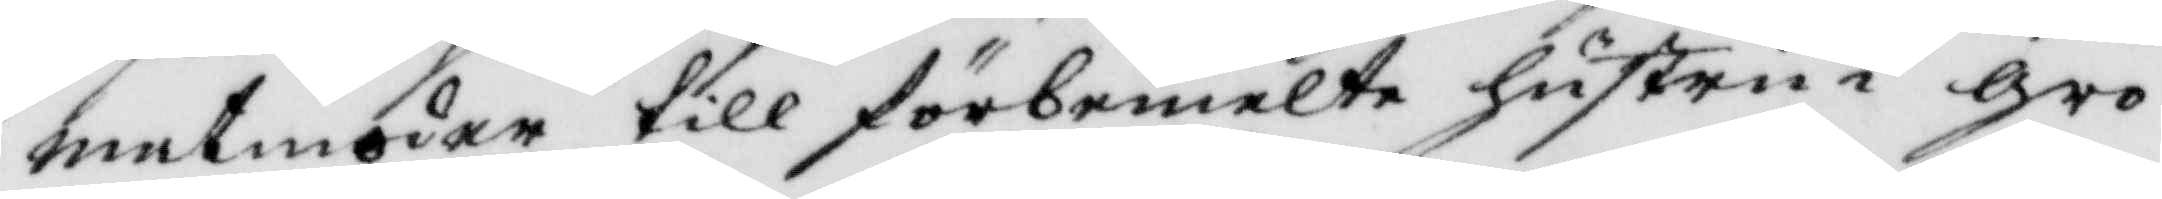matmoder till förbemelte hustrun i gro¬
